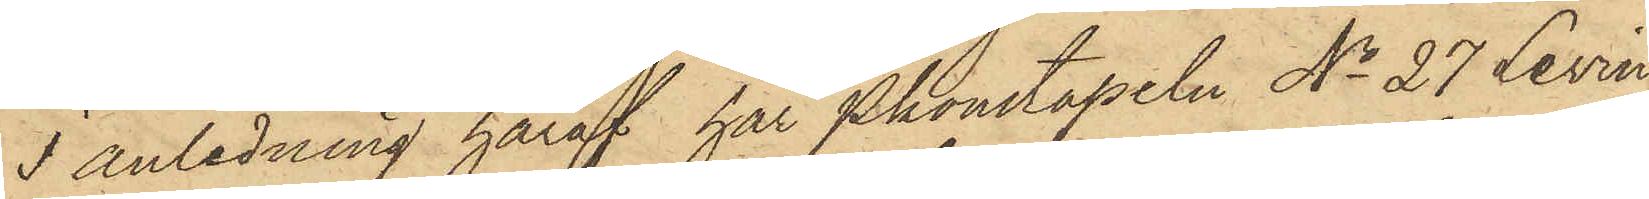I anledning häraf har Pkonstapeln No 27 Levin
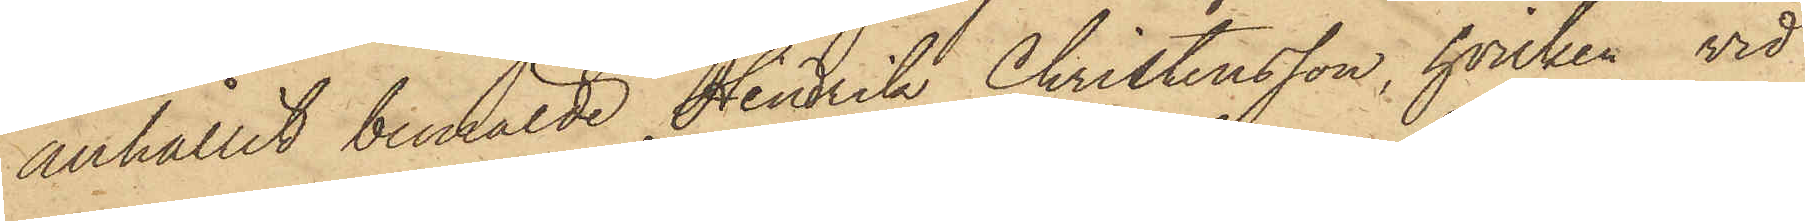anhållit bemälde Hindrik Christensson, hvilken vid
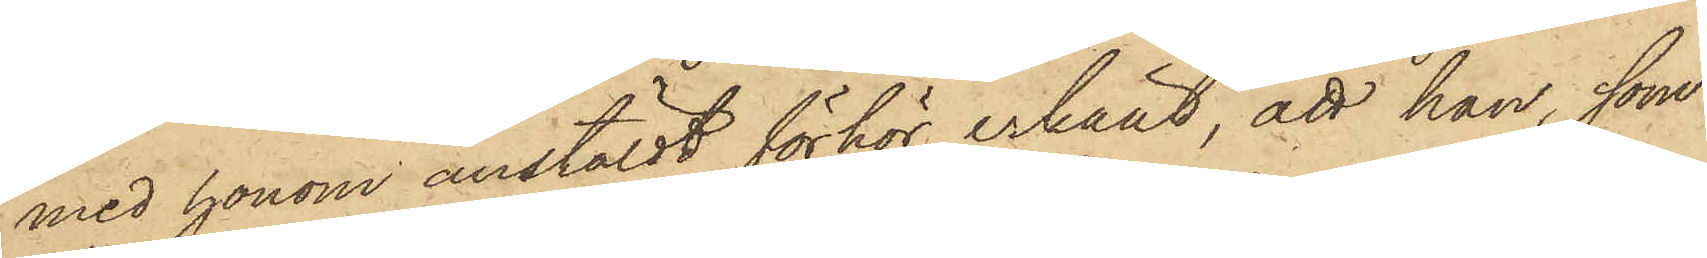med honom anstäldt förhör erkänt, att han, som
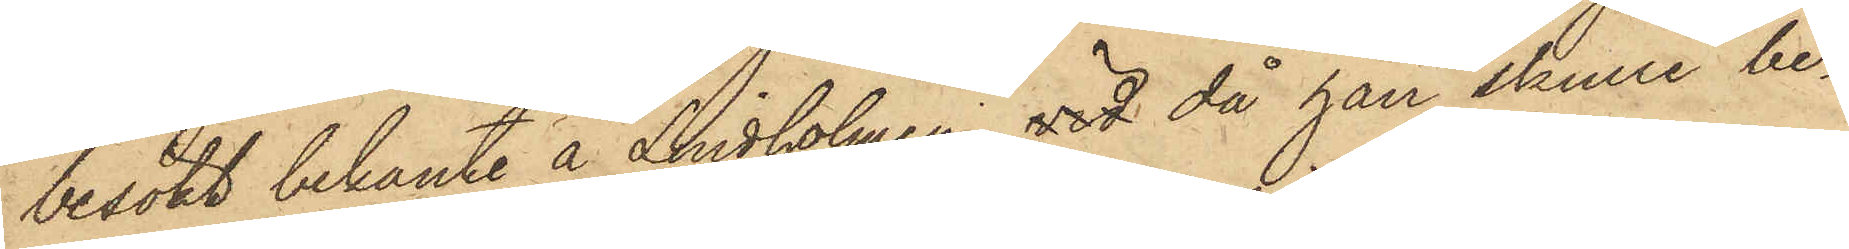besökt bekanta å Lindholmen, vid då han skulle be¬
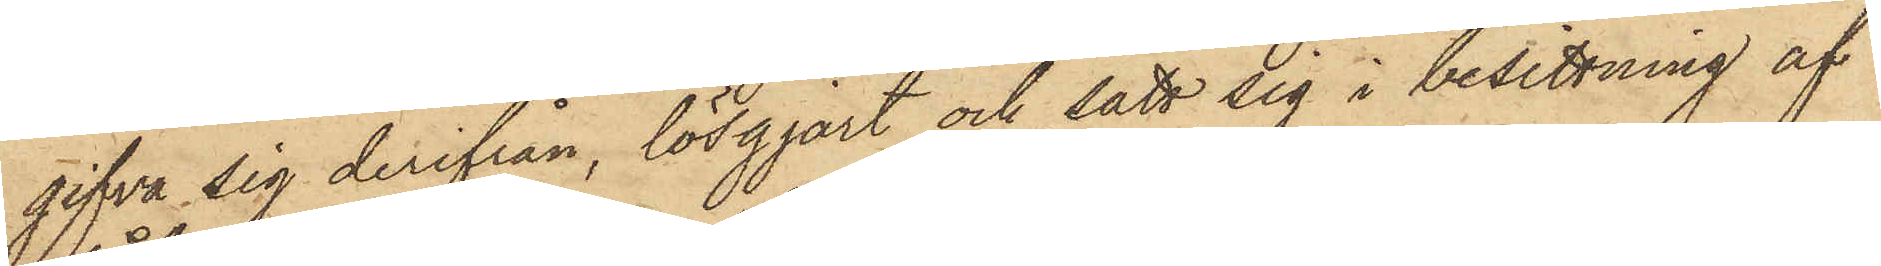gifva sig derifrån, lösgjort och satt sig i besittning af
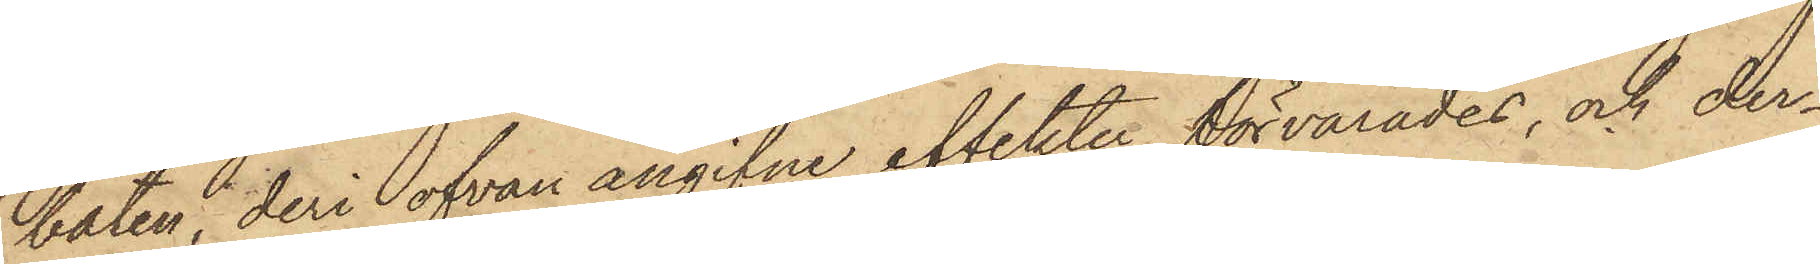båten, deri ofvan angifne effekter förvarades, och der¬
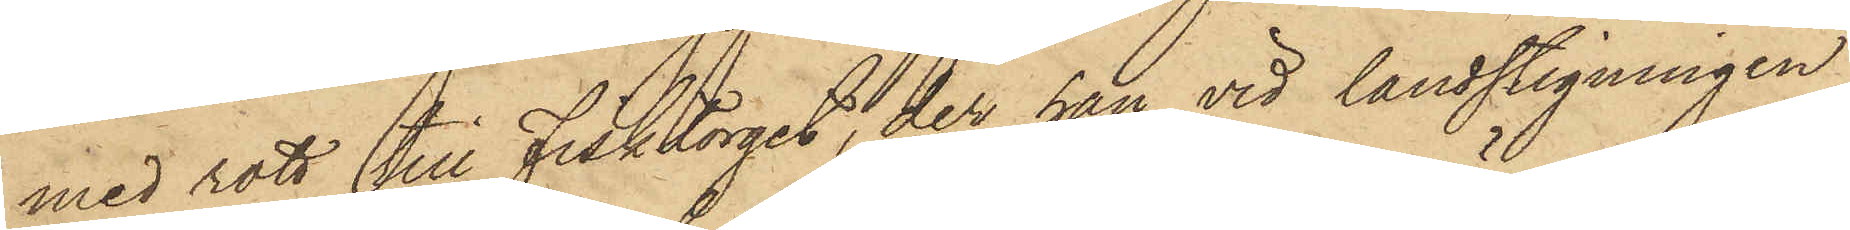med rott till Fisktorget, der han vid landstigningen
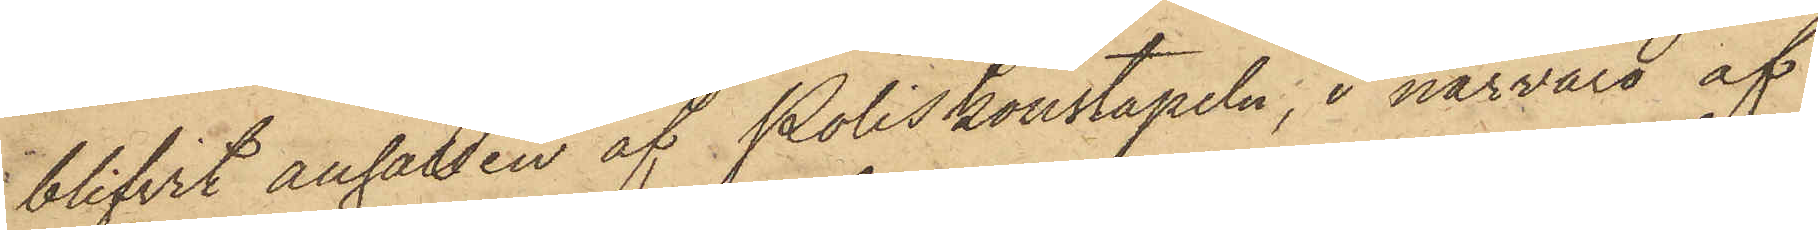blifvit anhållen af Poliskonstapeln, i närvaro af
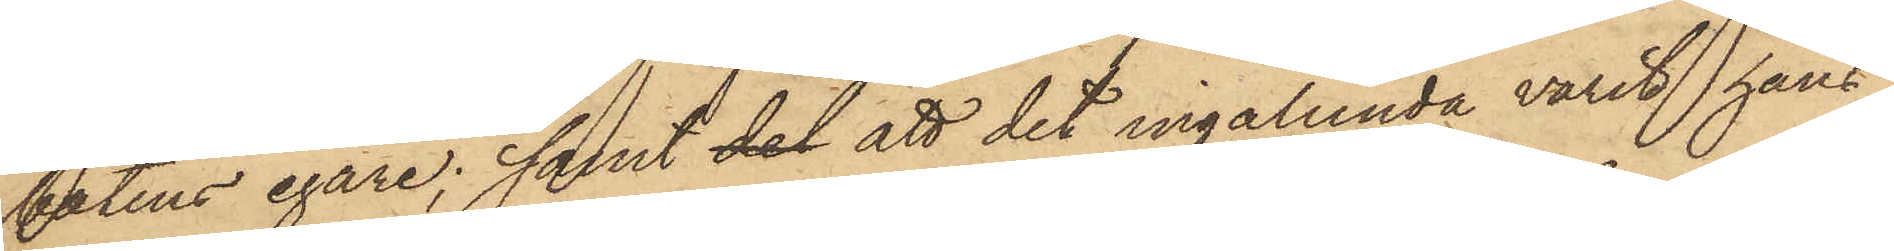båtens egare; samt det att det ingalunda varit hans
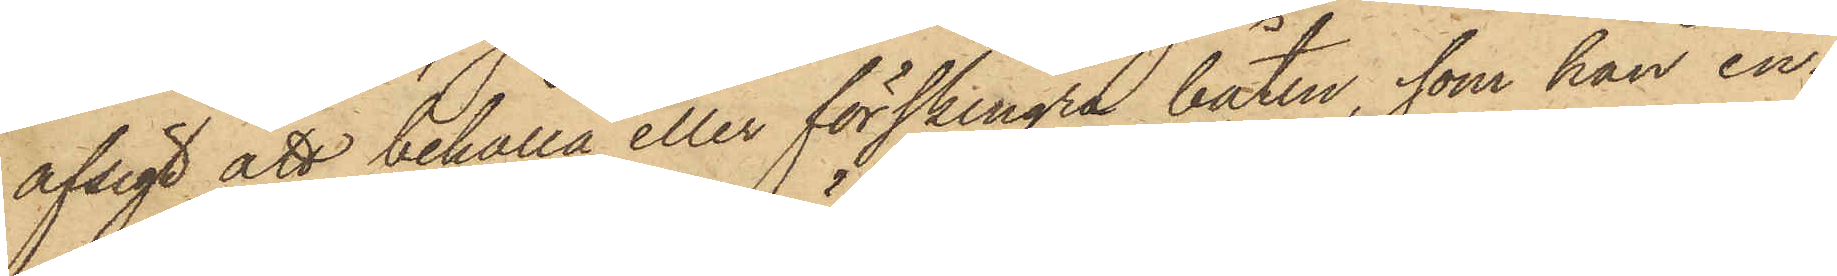afsigt att behålla eller förskingra båten, som han in¬
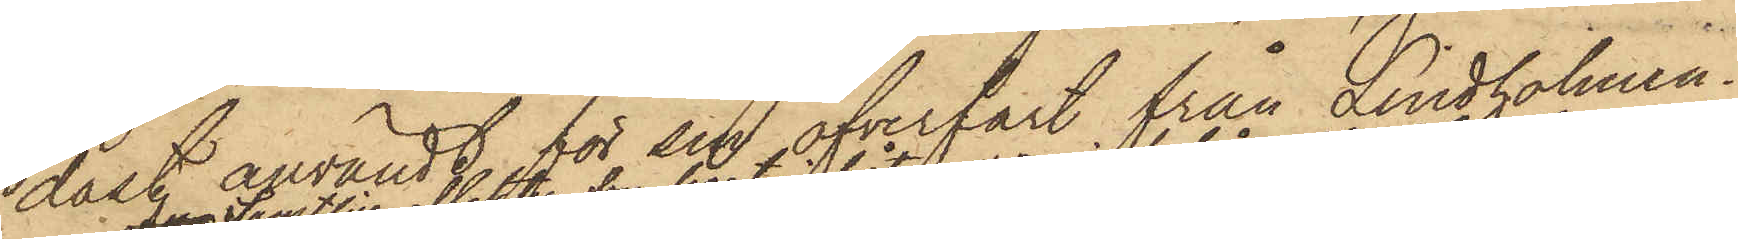dast användt för sin öfverfart från Lindholmen.
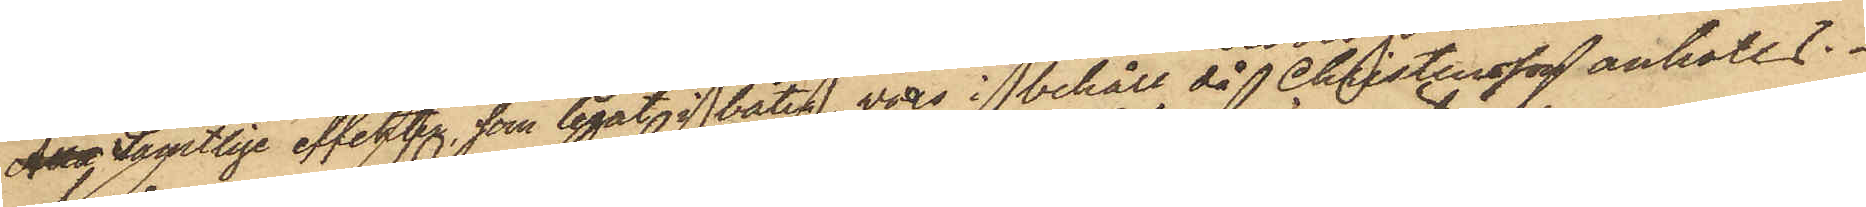An Samtlige effekter, som legat i båten, voro i behåll, då Christensson anhölls.
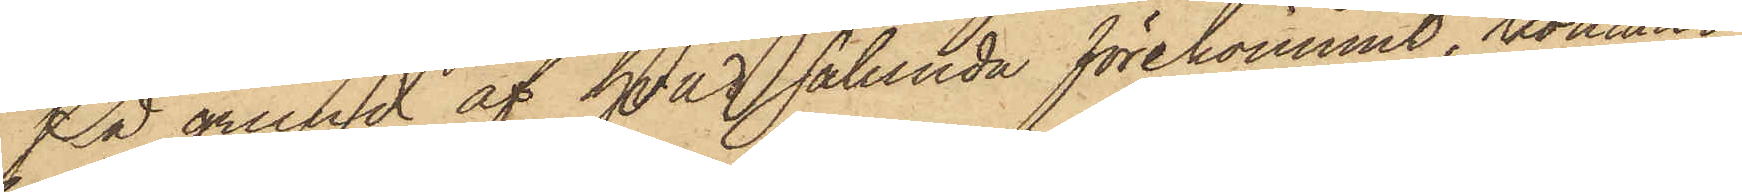På grund af hvad sålunda förekommit, kommer
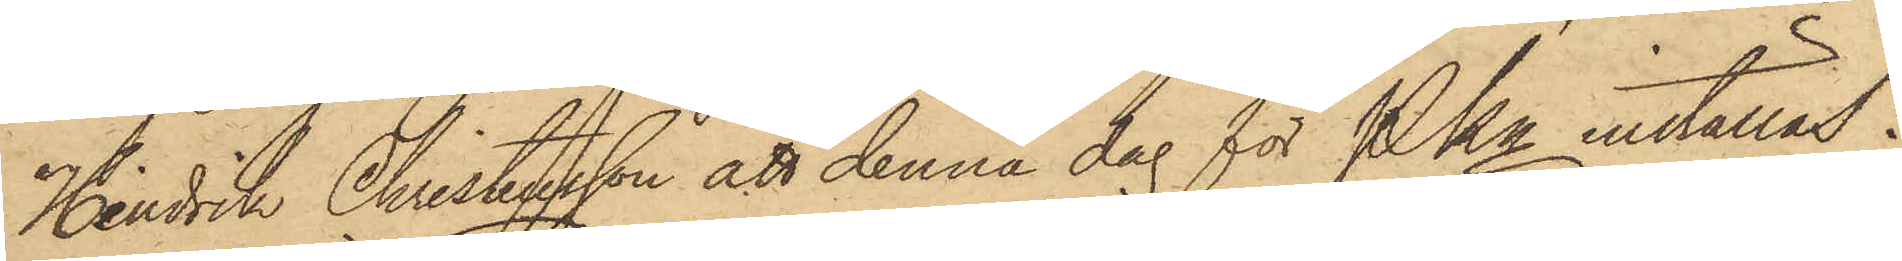Hindrik Christensson att denna dag för PKn inställas.
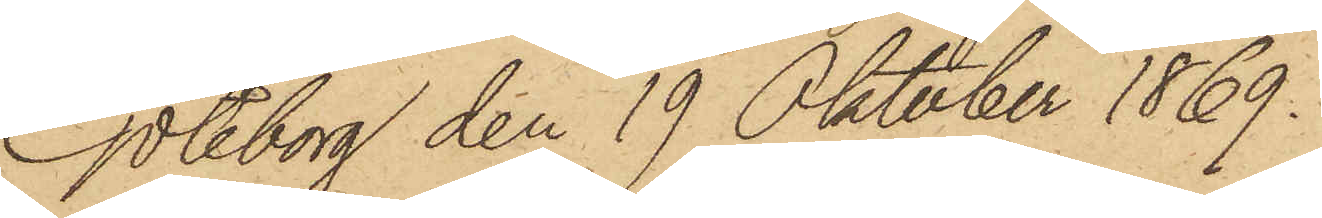Göteborg den 19 Oktober 1869.
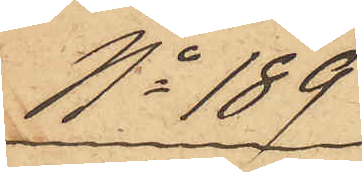No 189
